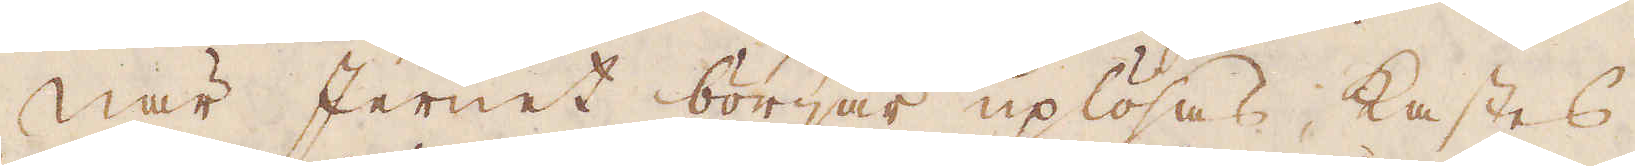När Jernet börjar uplösas, kastes
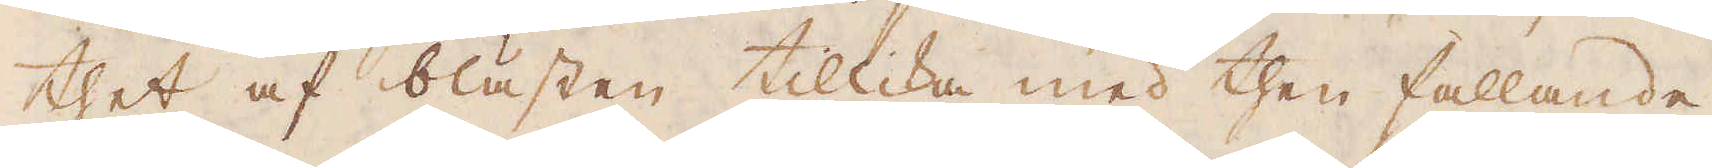thet af blästen tillika med then fallande
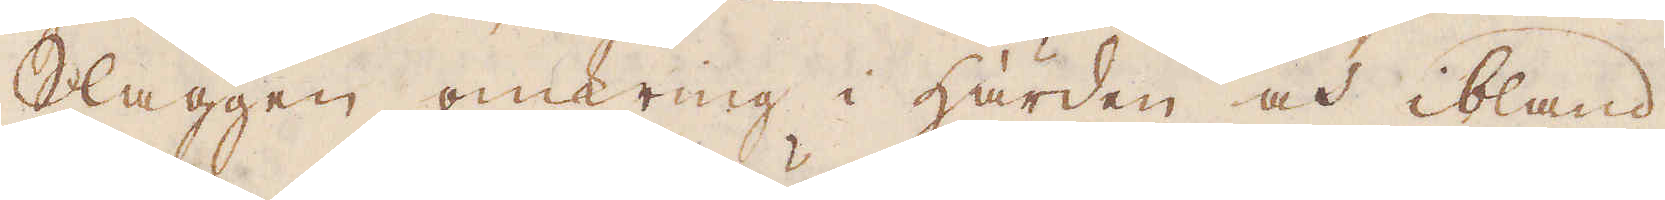slaggen omkring i härden och ibland
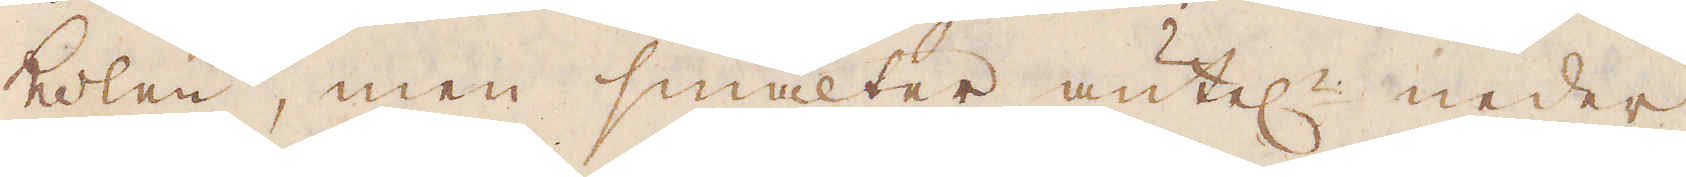kolen, men smälter äntel:n neder
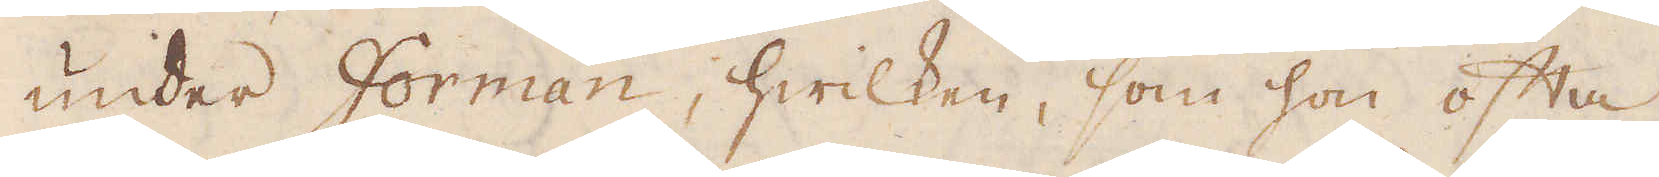under forman, hwilken, som hon ofta
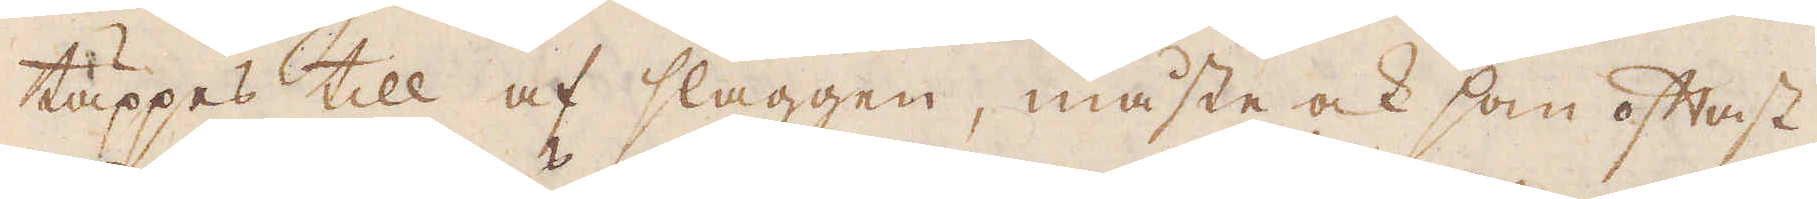täppes till af slaggen, måste ock som oftast
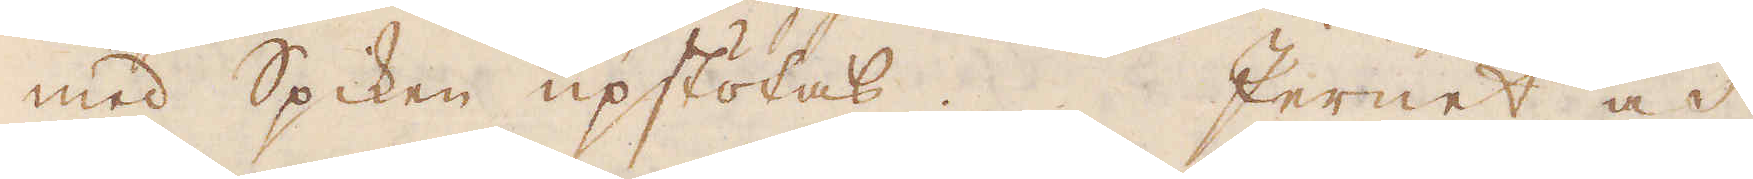med Spiken upstötas. Jernet och
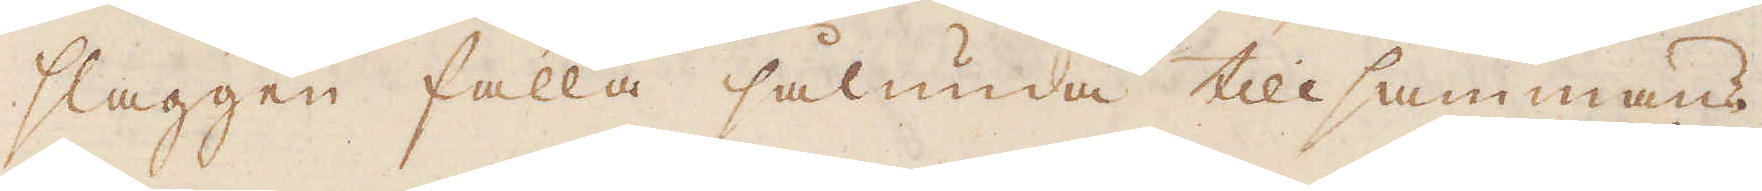slaggen falla sålunda tillsammans
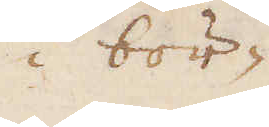i bör-
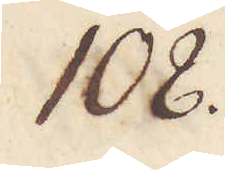108.
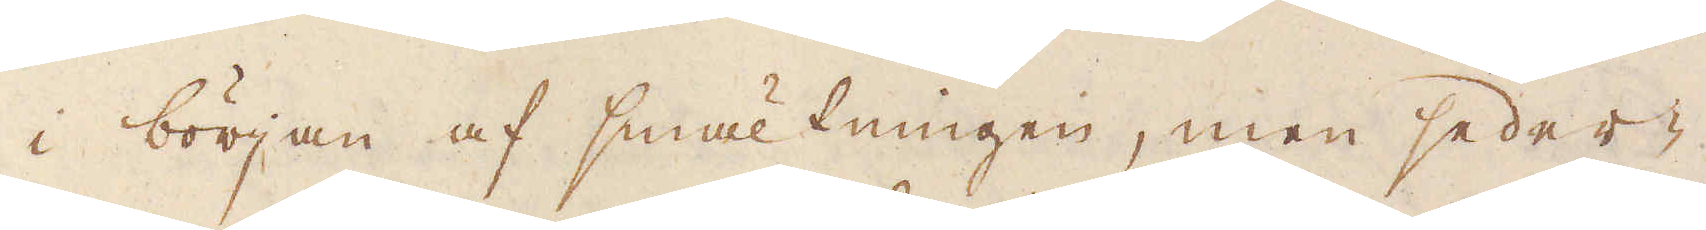i början af smältningen, men seder-
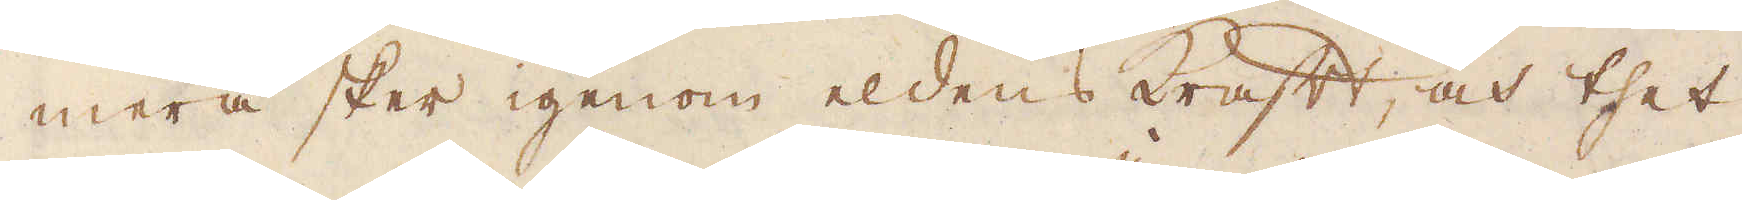mera sker igenom eldens Kraft, och thet
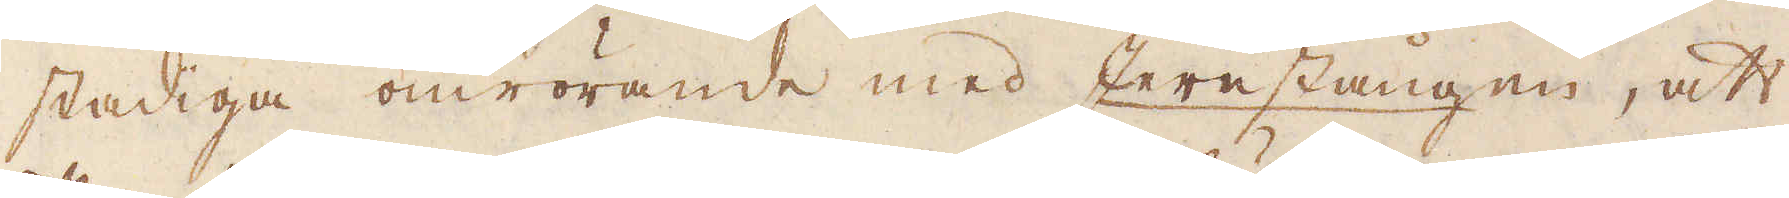stadiga omrörande med Jernstången, att
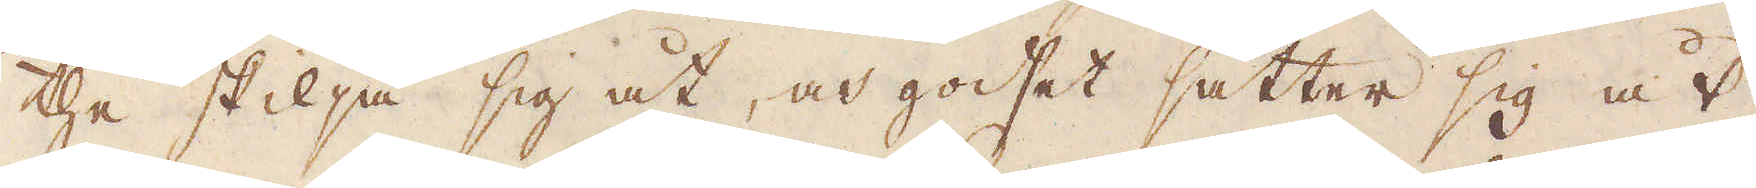the skilja sig åt, och godset sätter sig åt
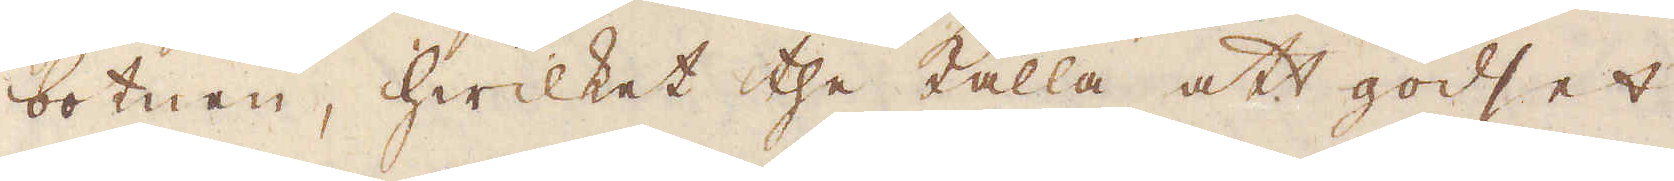botnen, hwilket the kalla att godset
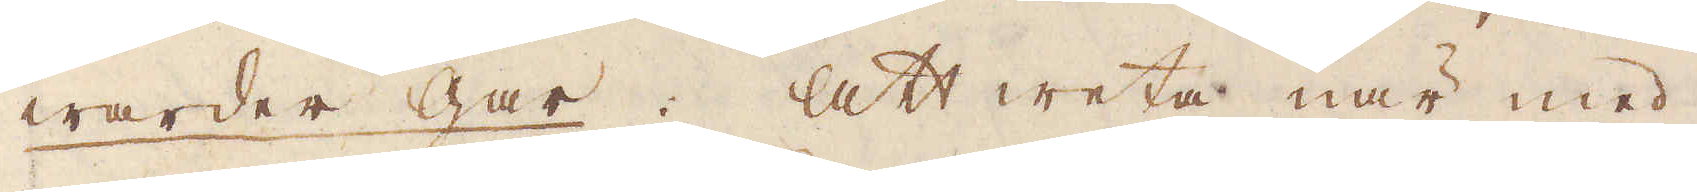warder gar: att weta, när med
